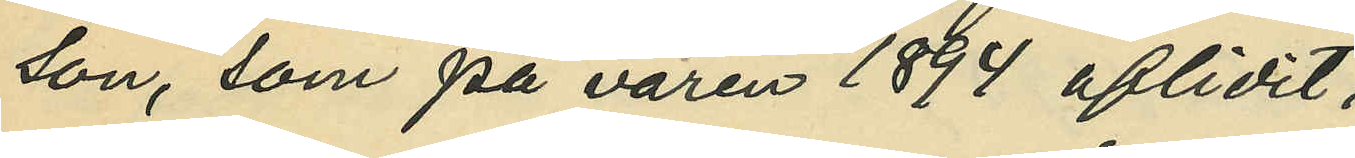son, som på våren 1894 aflidit;
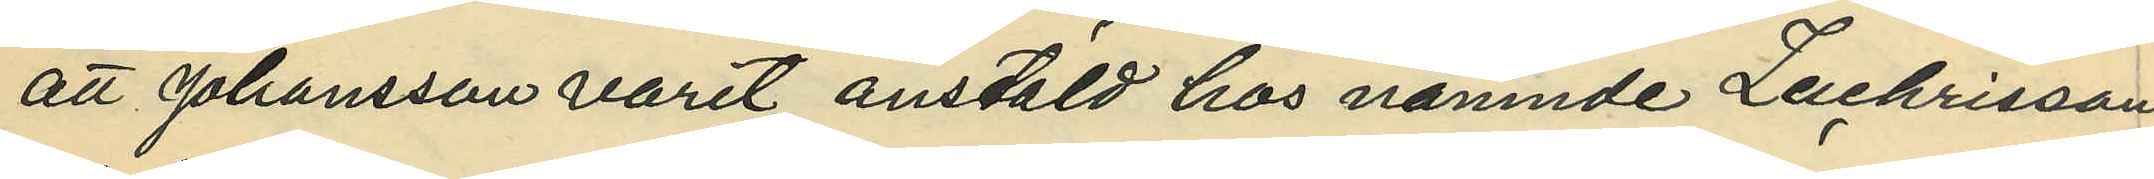att Johansson varit anstäld hos nämnde Zachrisson
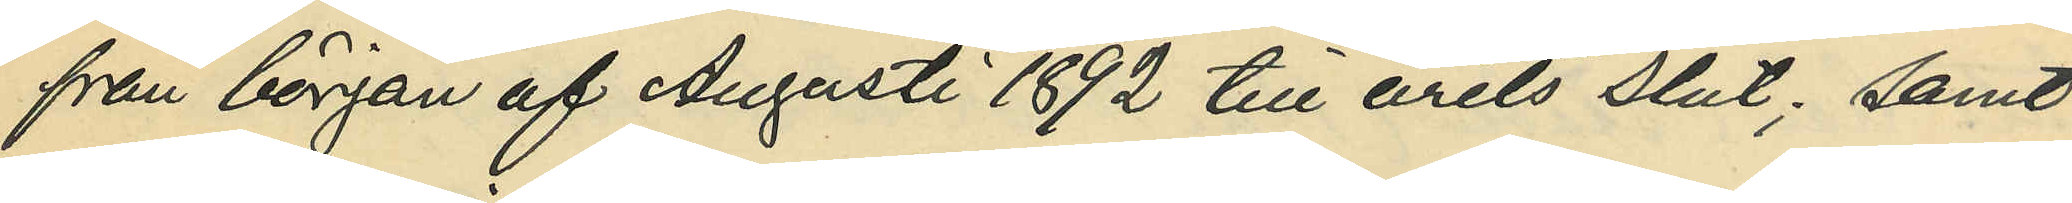från början af Augusti 1892 till årets slut; samt
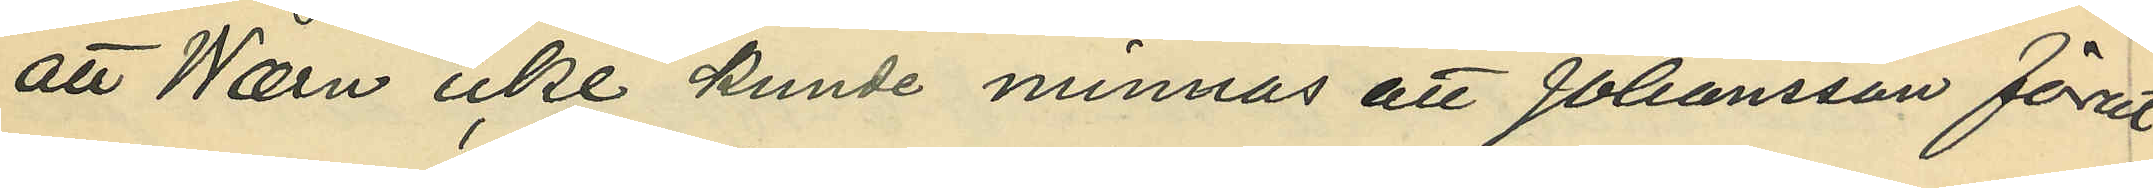att Wærn icke kunde minnas att Johansson förut
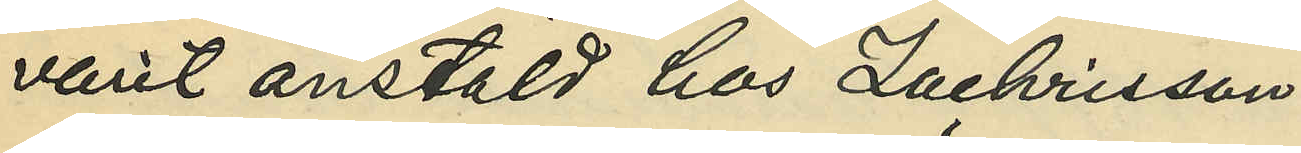varit anstäld hos Zachrisson.
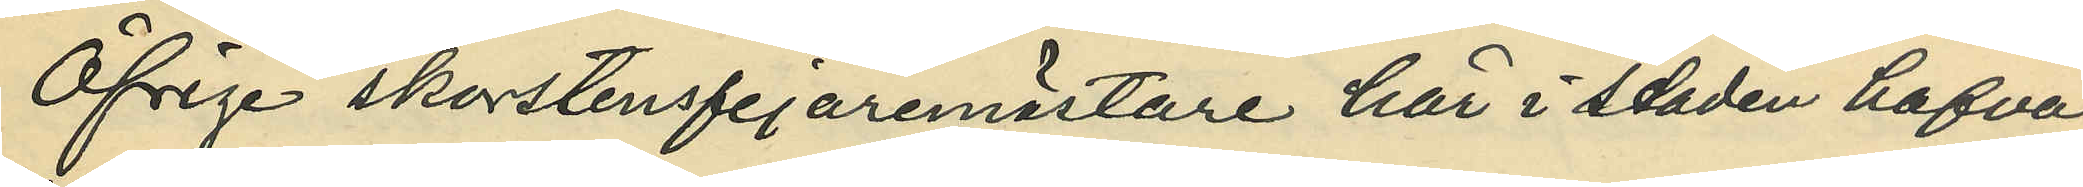Öfrige skorstensfejaremästare här i staden hafva
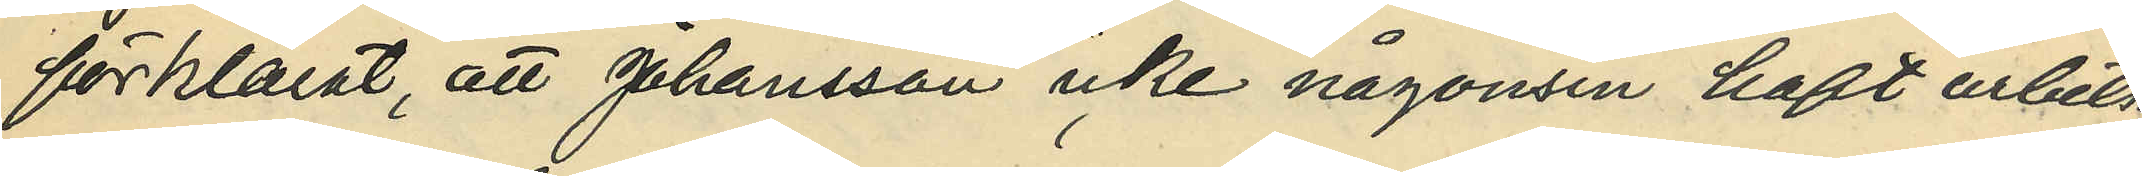förklarat, att Johansson icke någonsin haft arbets¬
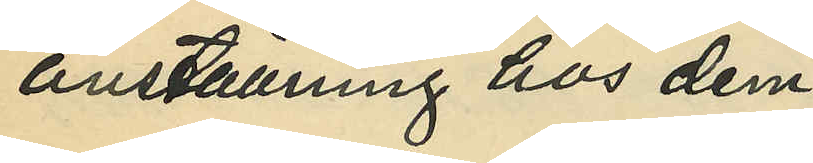anställning hos dem.
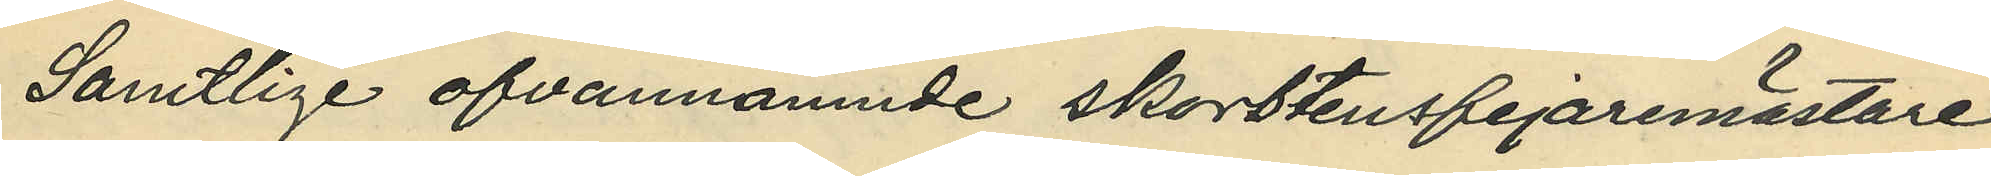Samtlige ofvannämnde skorstensfejaremästare
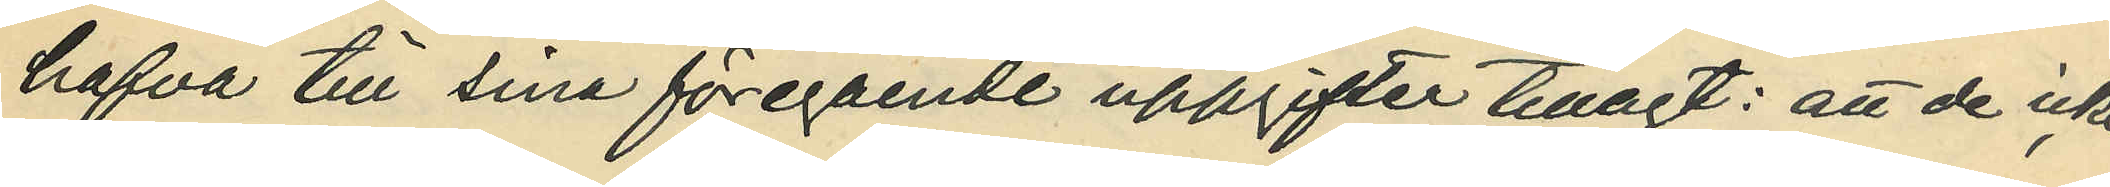hafva till sina föregående uppgifter tillagt: att de icke
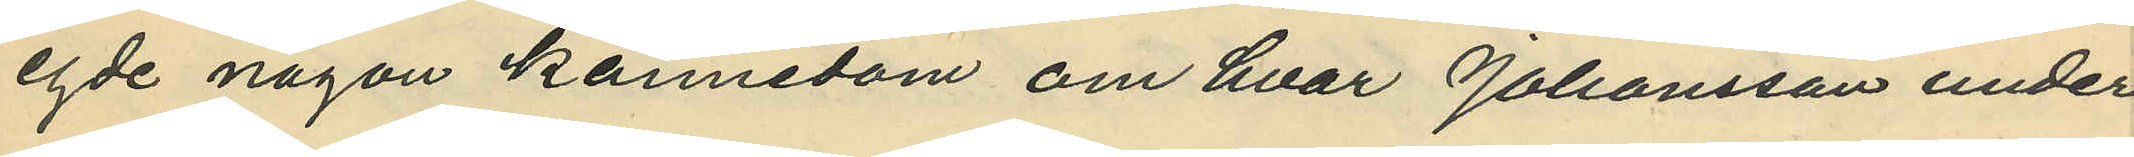egde någon kännedom om hvar Johansson under
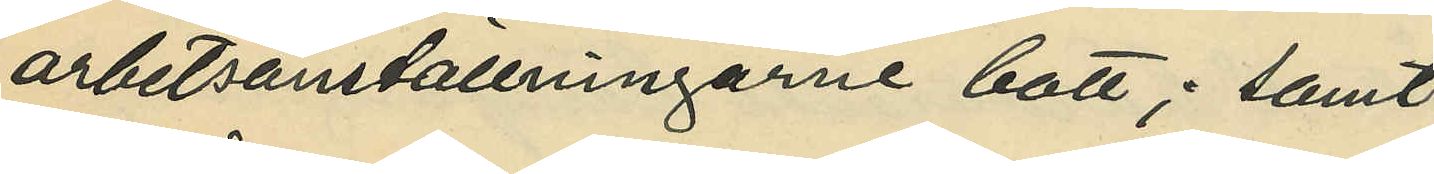arbetsanställningarne bott; samt
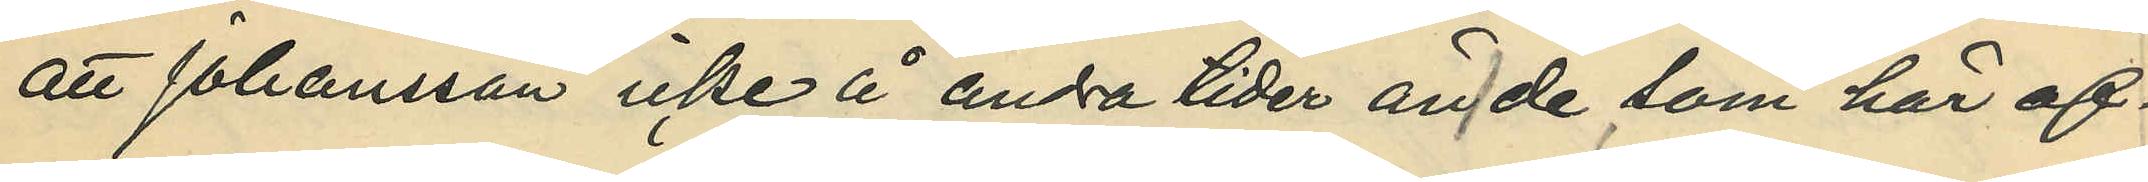att Johansson icke å andra tider än de, som här of¬
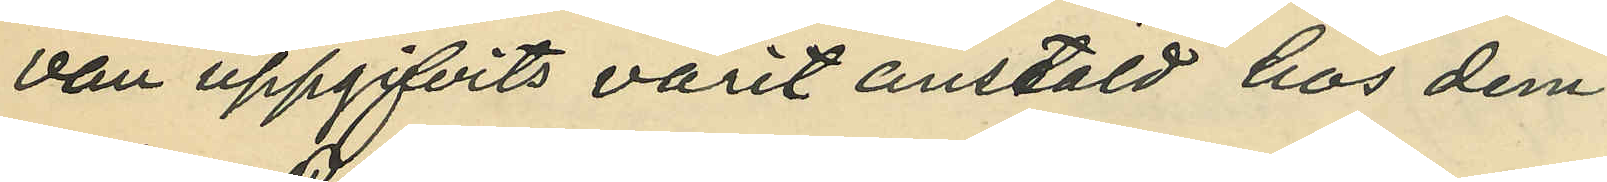van uppgifvits varit anstäld hos dem.
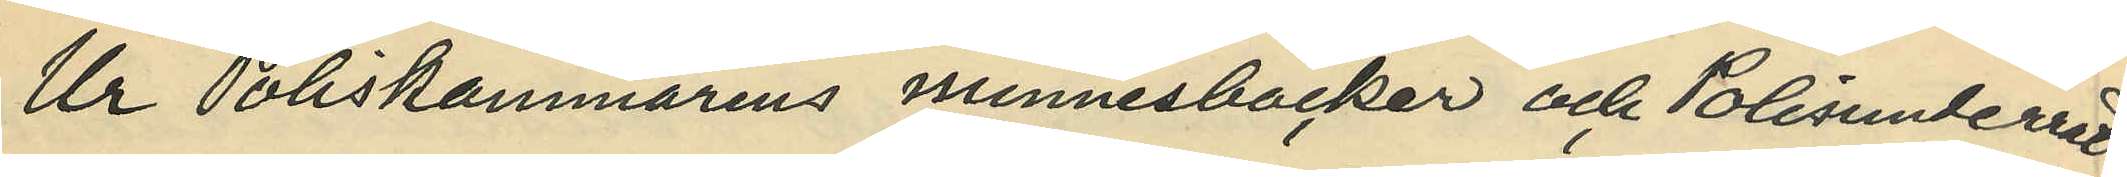Ur Poliskammarens minnesböcker och Polisunderrät¬
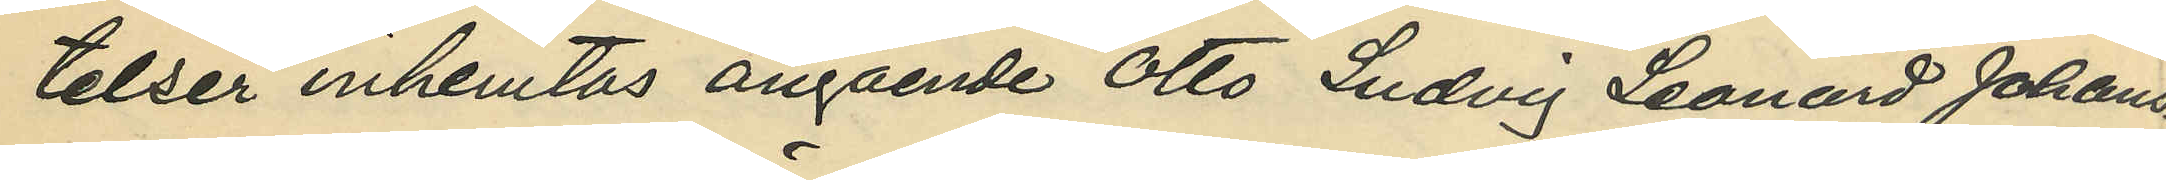telser inhemtas angående Otto Ludvig Leonard Johans¬
